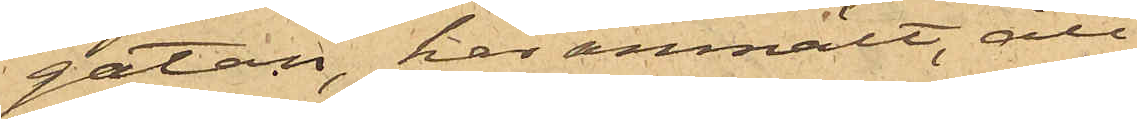gatan, har anmält, att
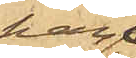han
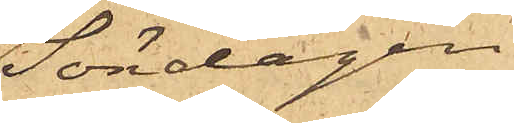Söndagen
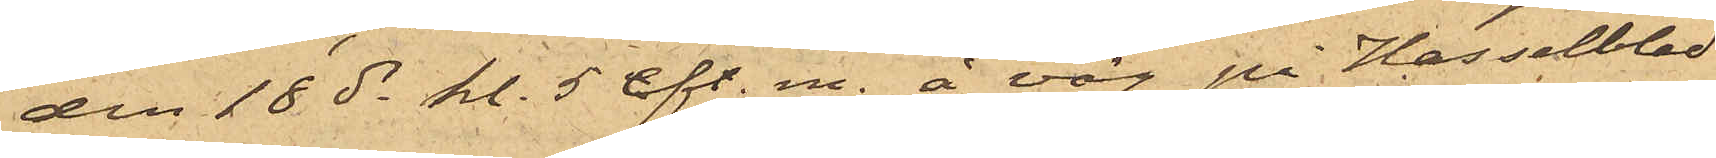den 18 ds kl. 5 eft. m. å väg på Hasselblad¬
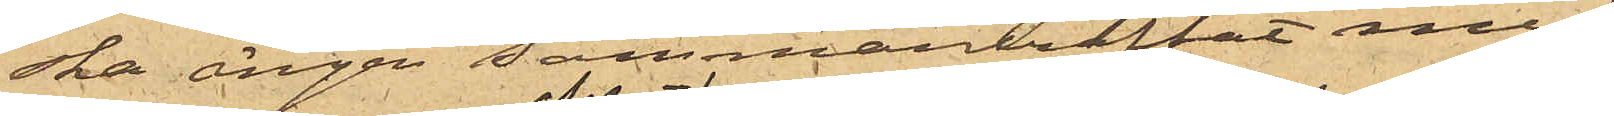ska ängen sammanträffat med
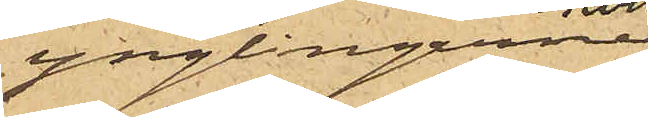ynglingarne
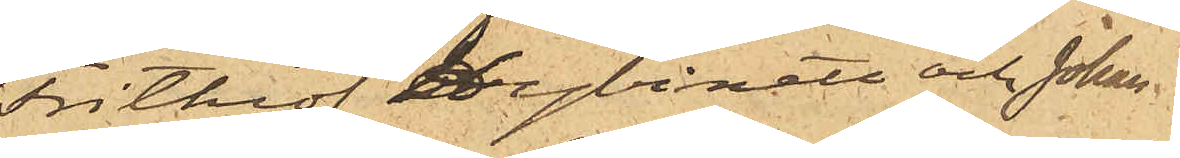Frithiof Hybinett och Johan
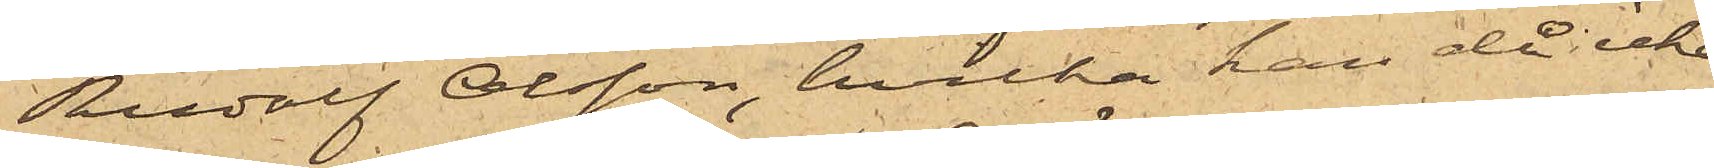Rudolf Olsson, hvilka han då icke
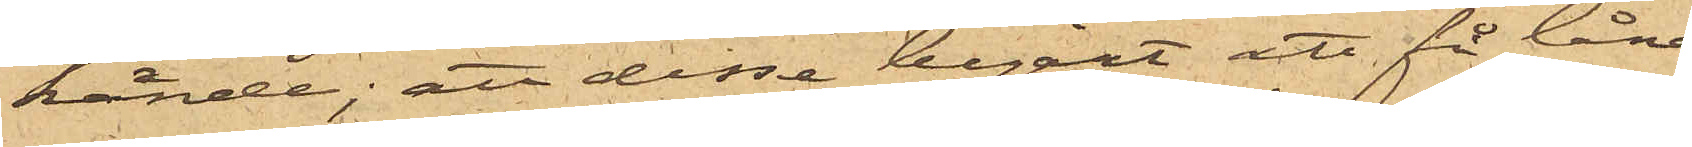kände; att desse begärt att få låna
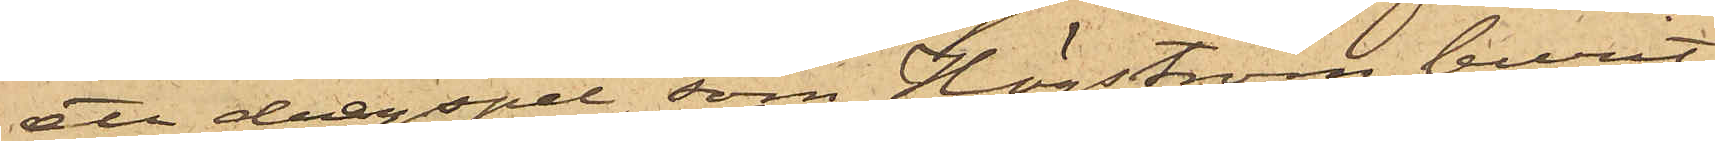ett dragspel, som Högström burit
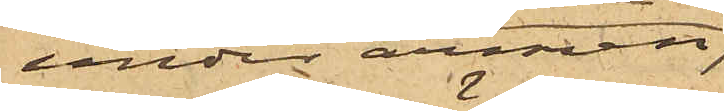under armen,
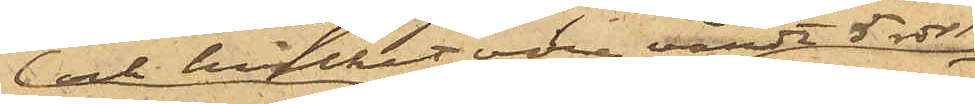och hvilket vore värdt 5 rdr
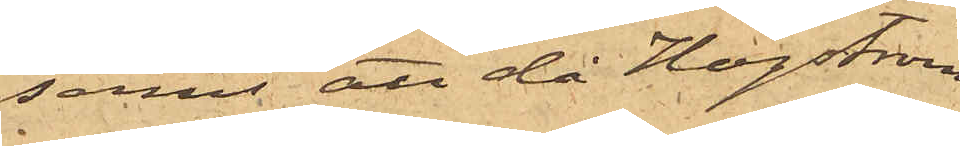samt att då Högström
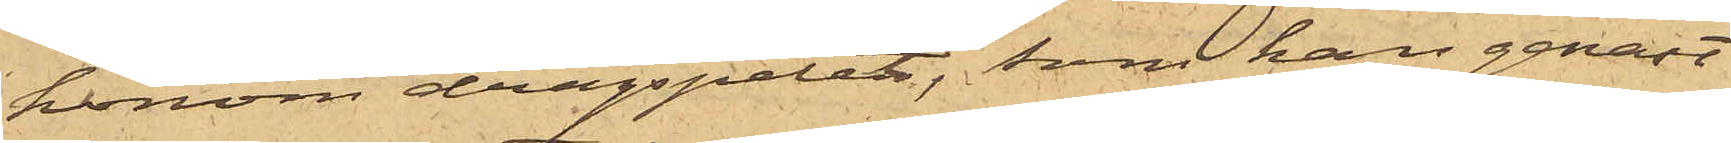honom dragspelet, som han genast
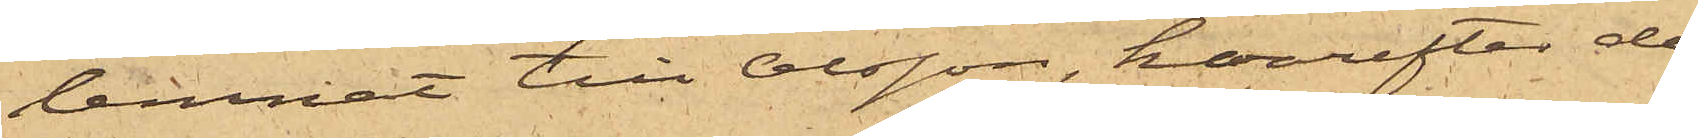lemnat till Olsson, hvarefter de
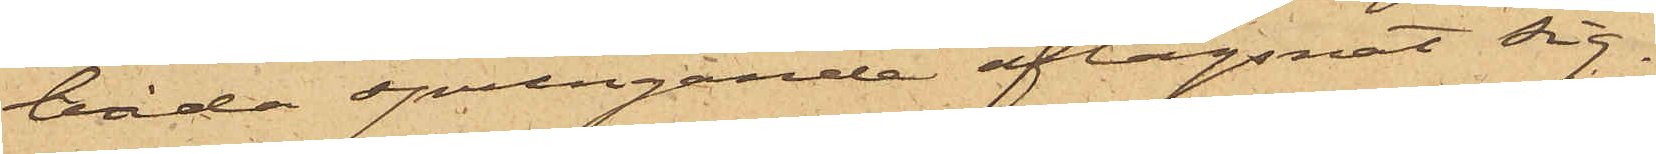båda springande aflägsnat sig.
